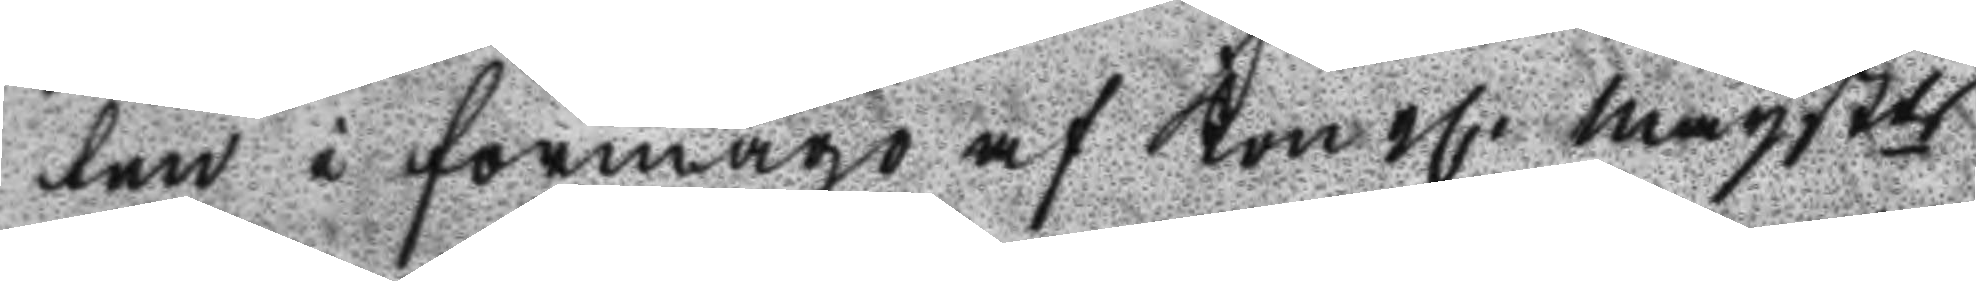ten i förmågo af Kongl. Maystts
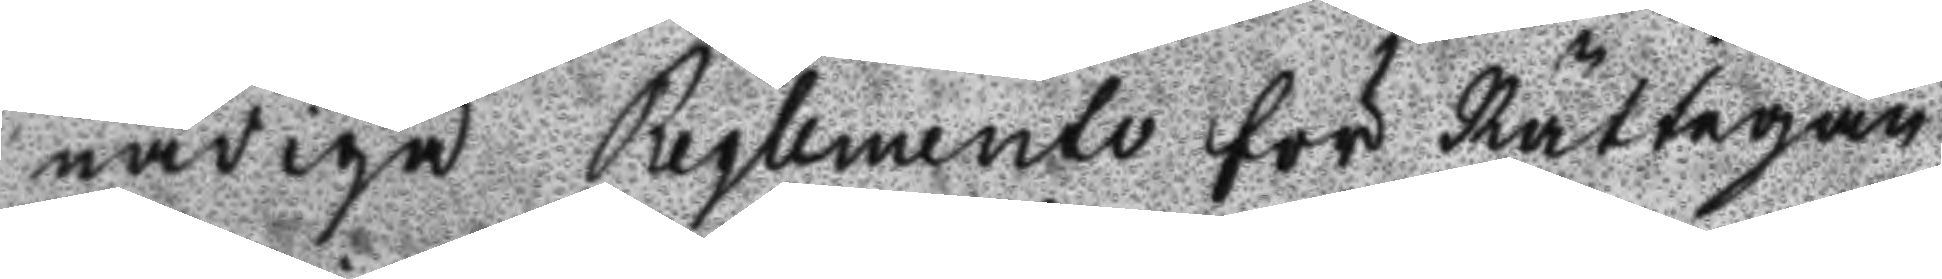nådiga Reglemente för Rättegån
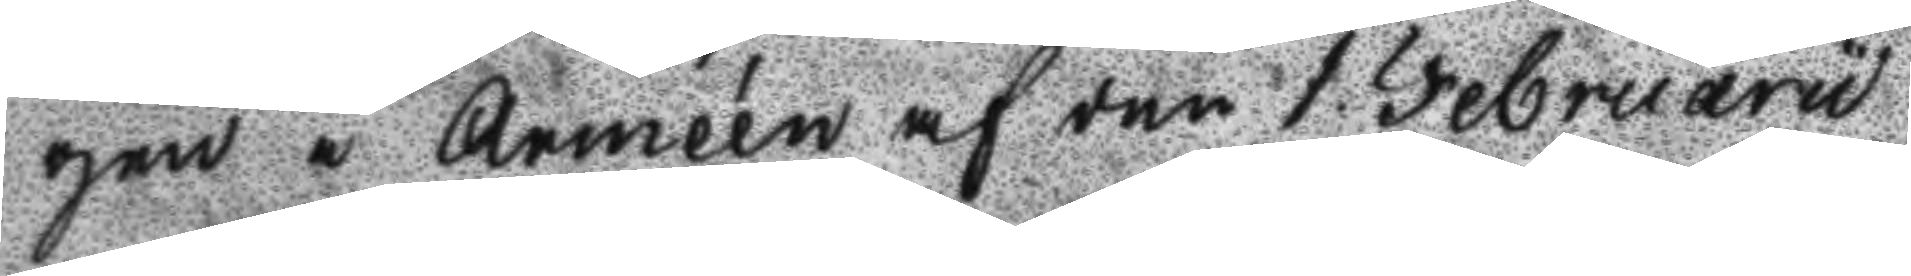gen i Armeén af den 1. Februaru
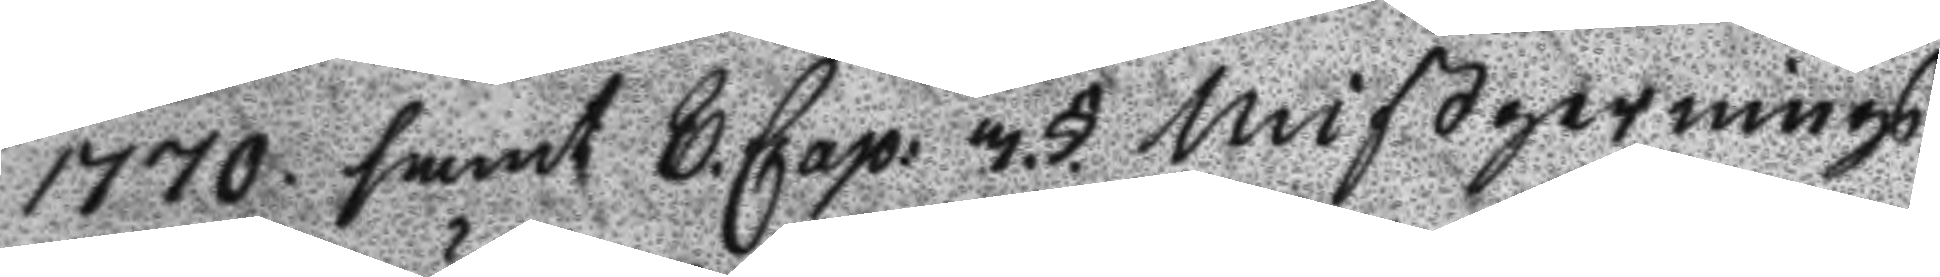1770. samt 8. Cap: 3.§. Mißgernings
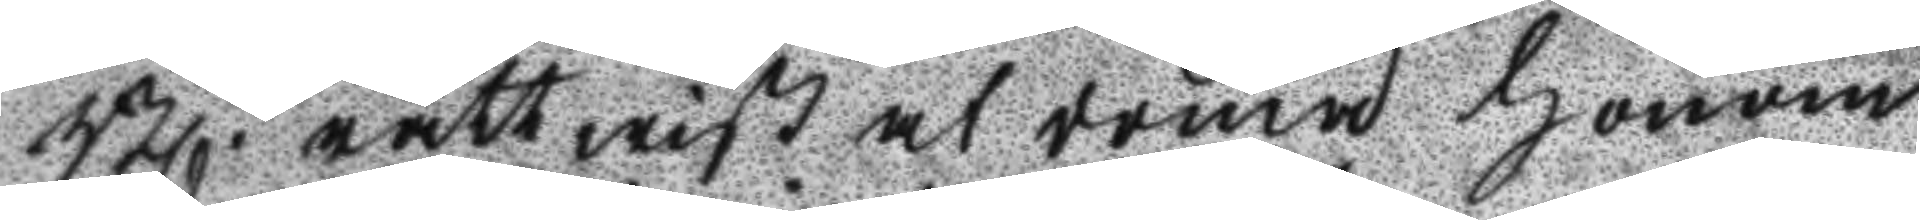Bl. rättwist at döma honom
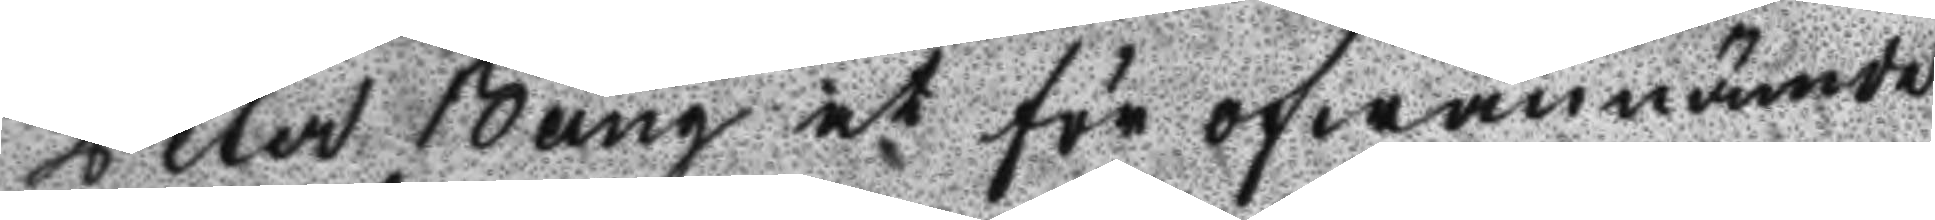Peter Bång at för ofwannämde
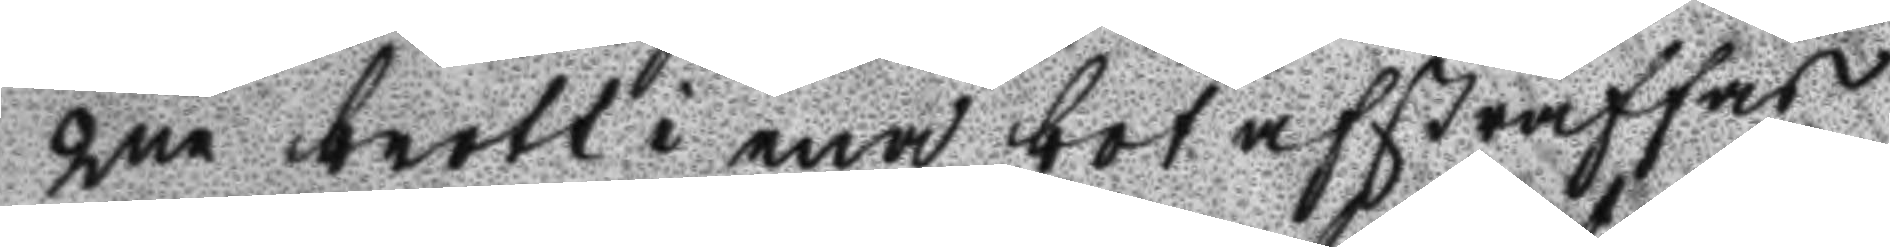2ne brott i ena bot afstraffas
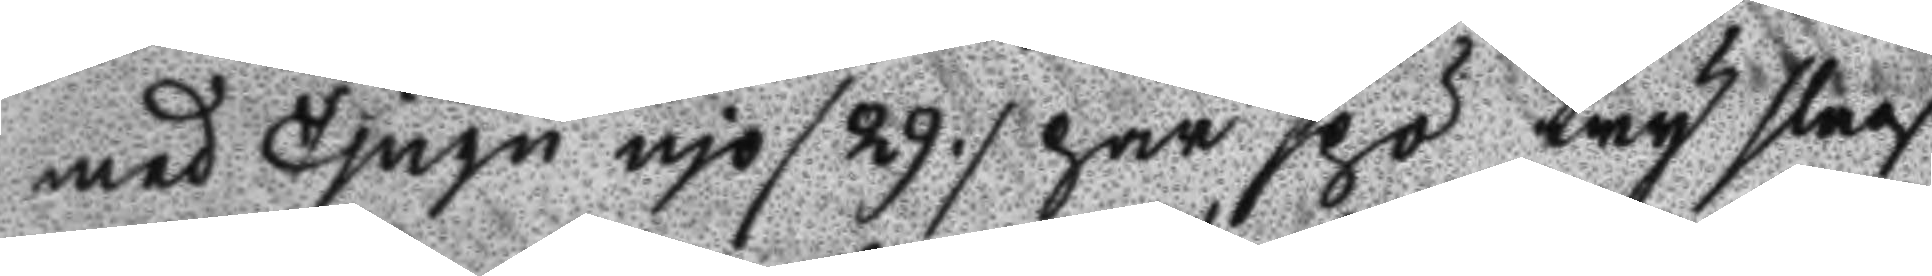med Tjugo njo /29/ par spö try slag
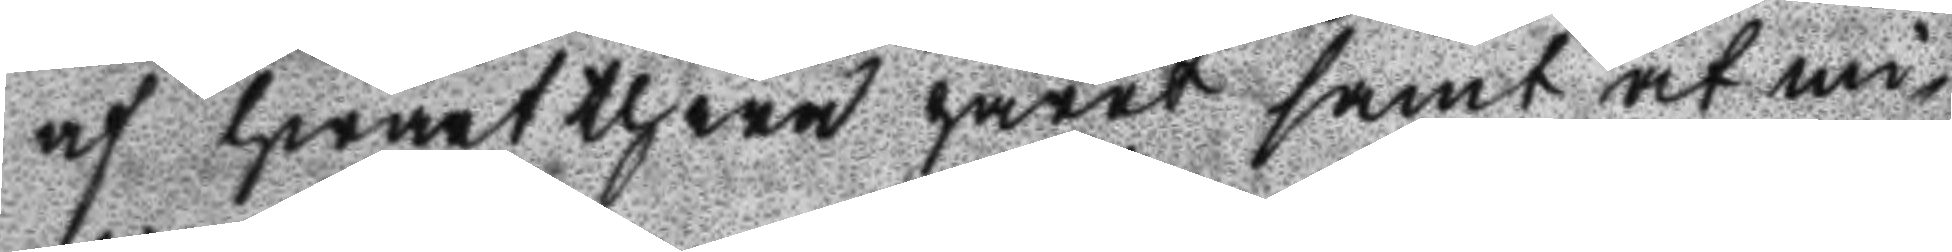af hwartthera paret samt at mi¬
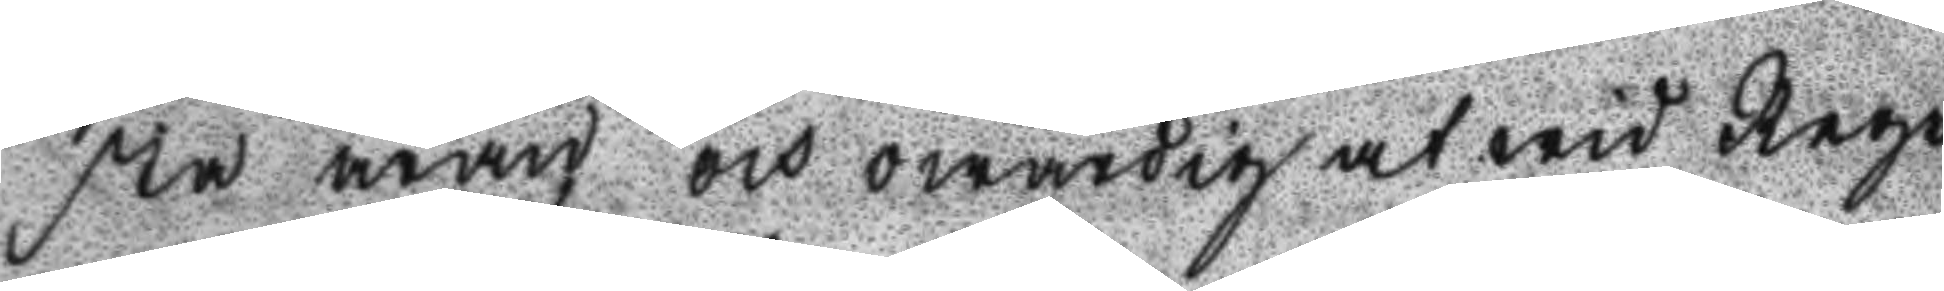sta äran och owärdig at wid Rege
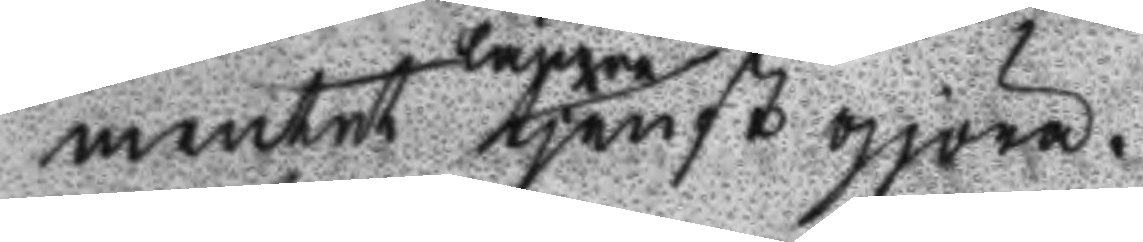mentet längre tjänst gjöra,
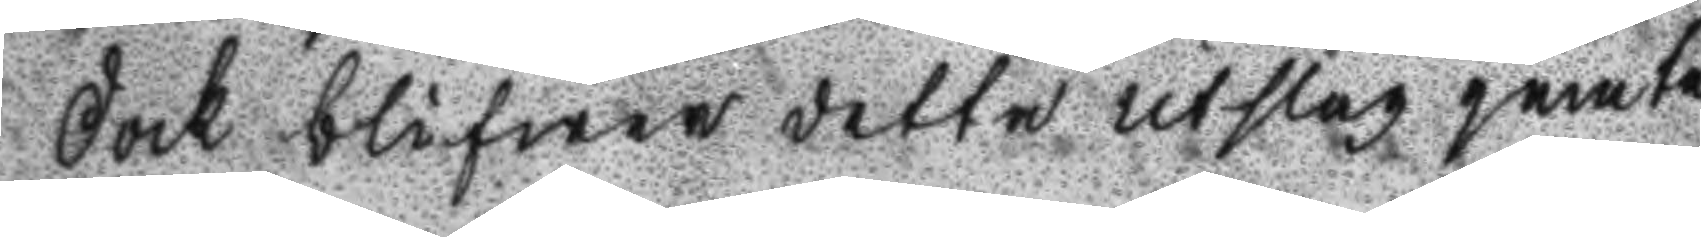Dock blifwer detta utslag jemte
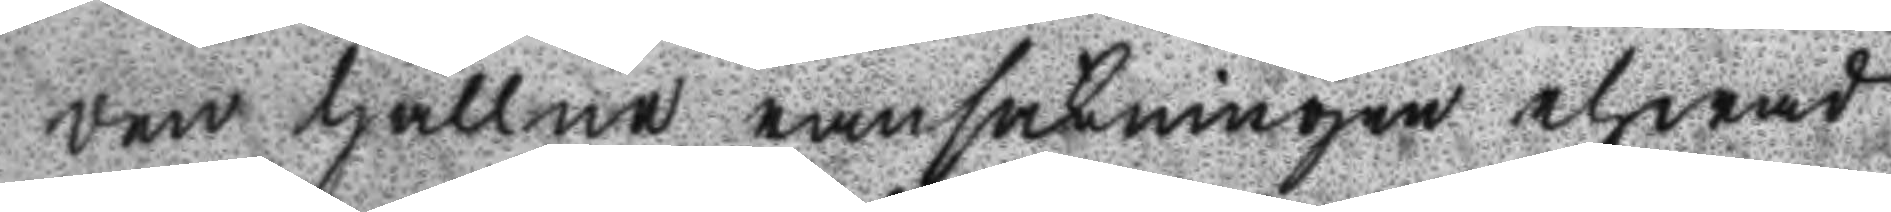den hållne ransakningen ehwad
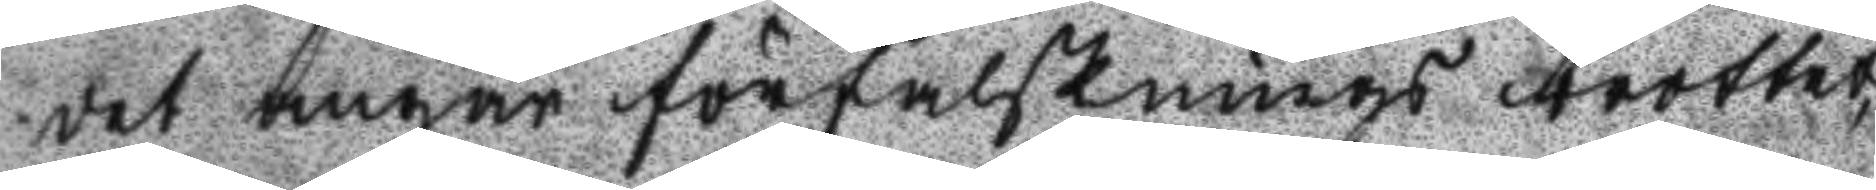det angåt förfalsknings brottet,
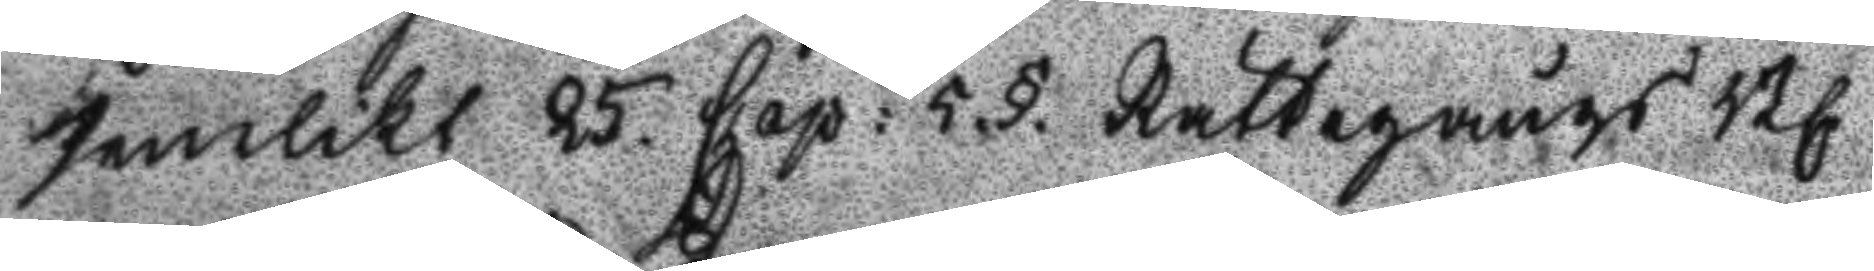Jämlikt 25. Cap: 5.§. Rättegångs Bl.
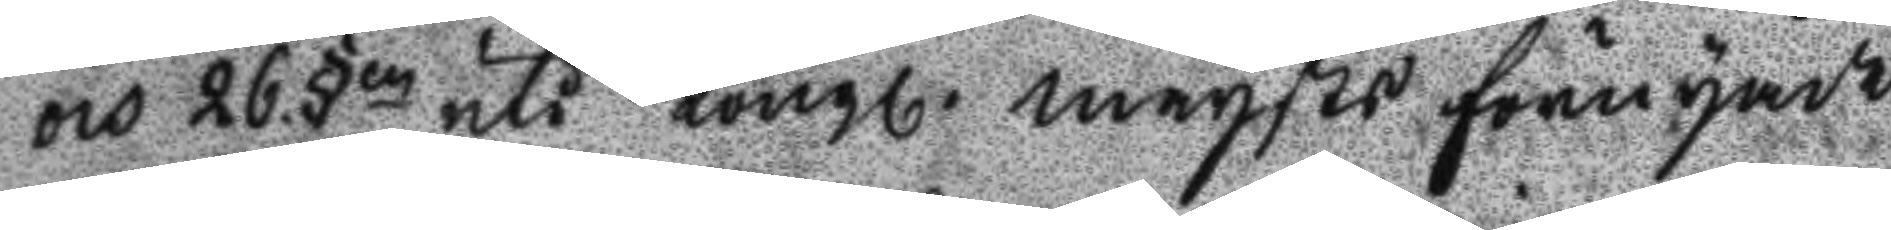och 26.§en uti Kongl. maysts förnyade
